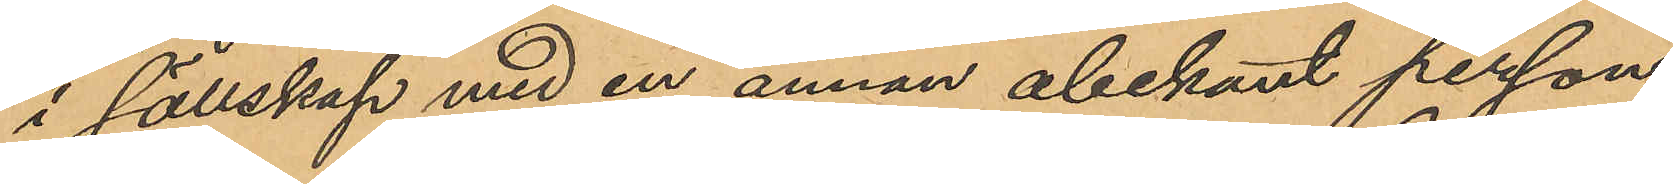i sällskap med en annan obekant person,
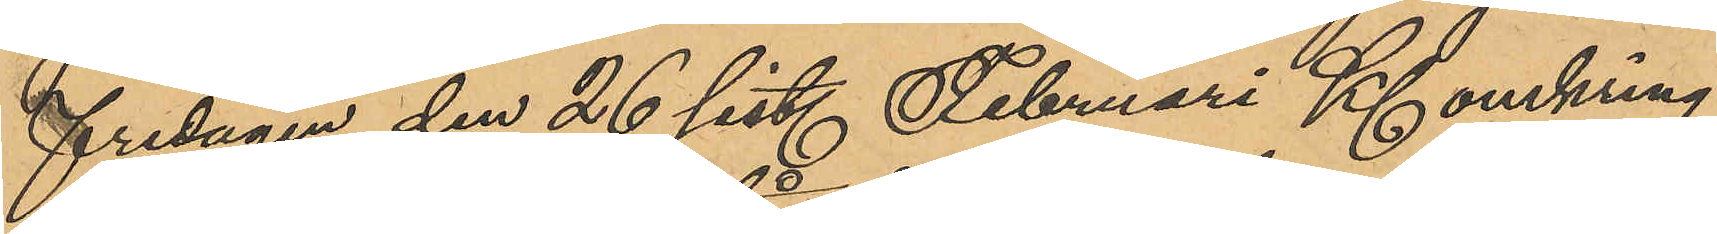fredagen den 26 sist. Februari Kl omkring
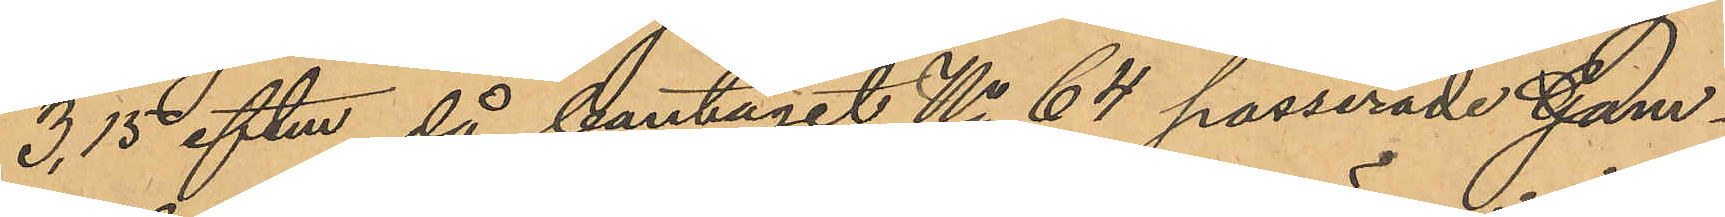3,15 eftm, då bantaget No 64 passerade Gam¬
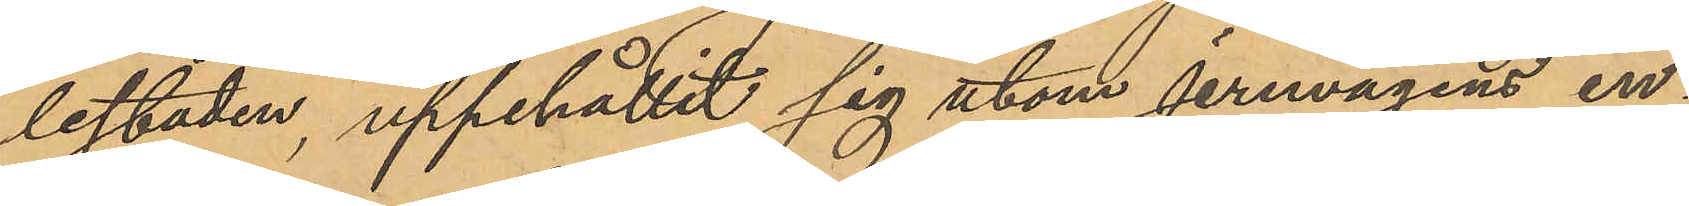lestaden, uppehållit sig utom jernvägens in¬
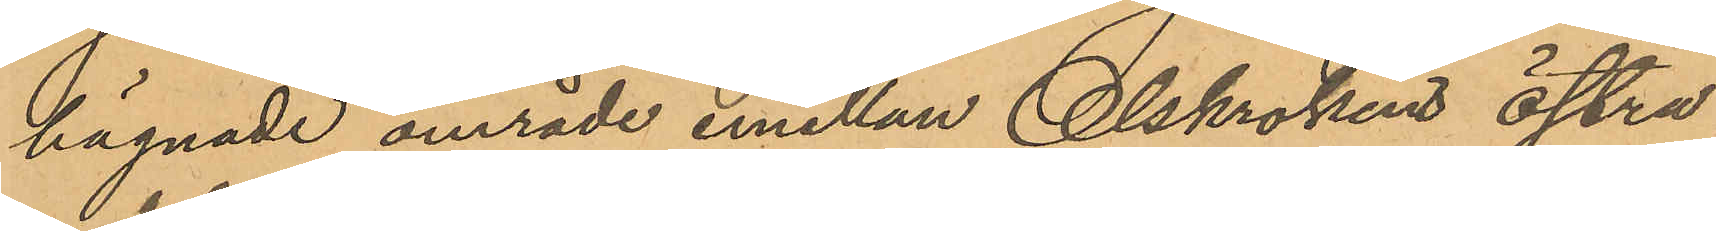hägnade område emellan Olskrokens Östra
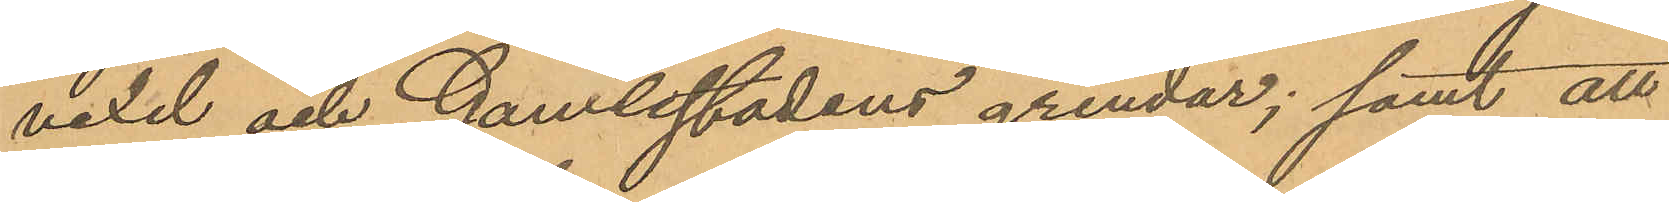vexel och Gamlestadens grindar; samt att
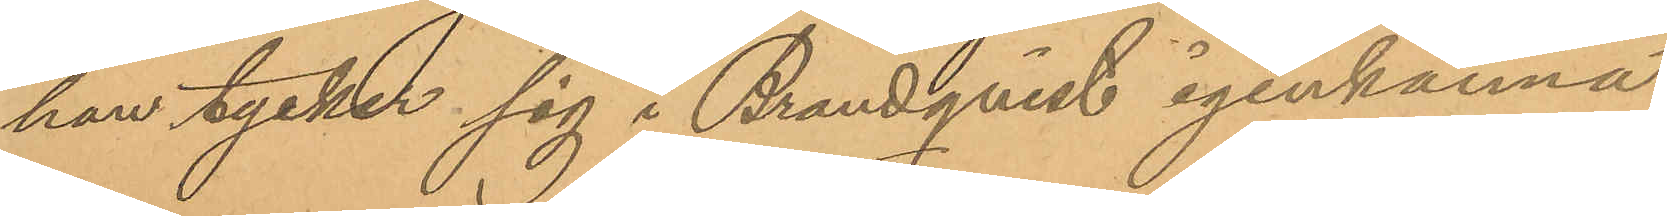han tycker sig i Brandqvist igenkänna
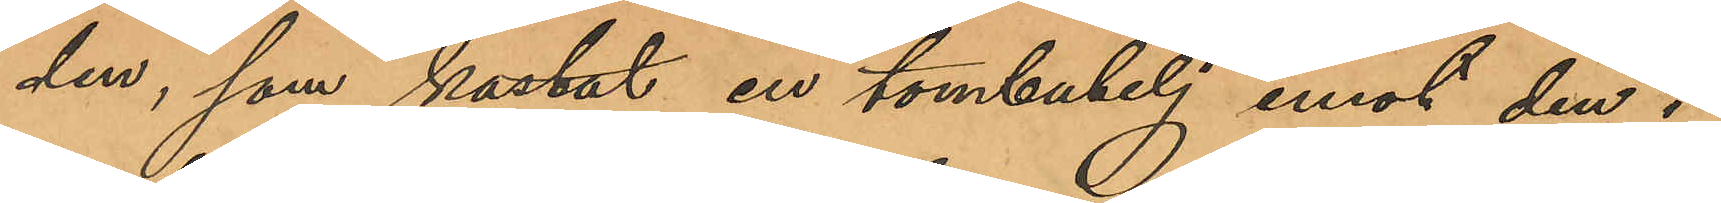den, som kastat en tombutelj emot den i
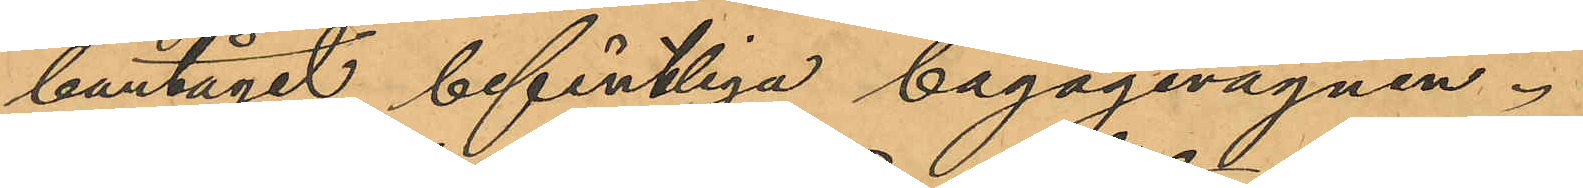bantåget befintliga bagagevagnen.
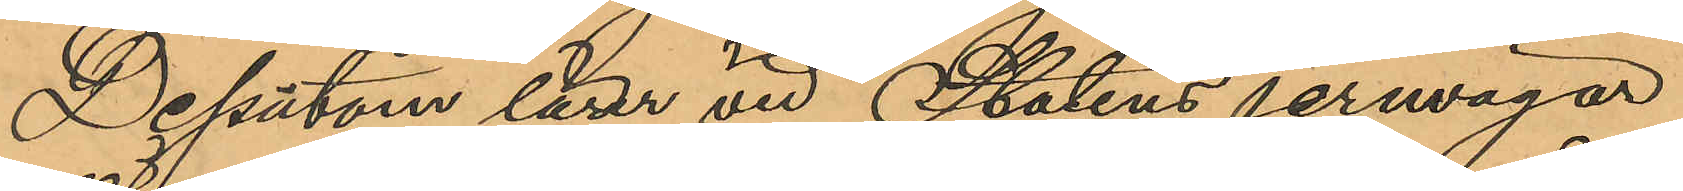Dessutom lärer vid Statens jernvägar
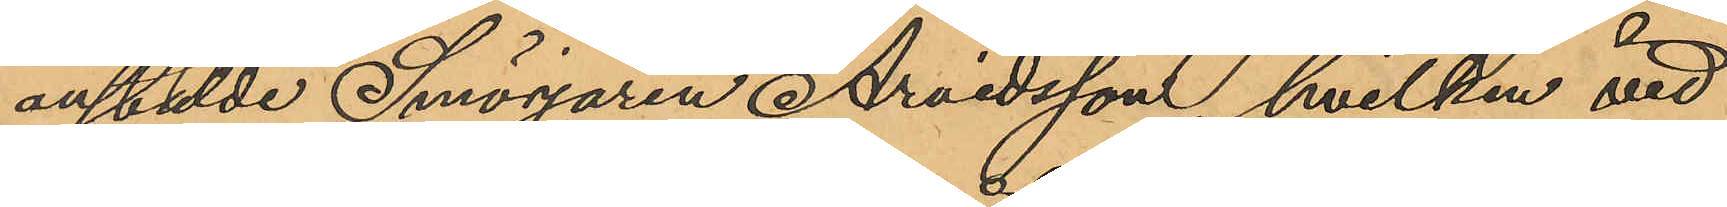anstälde Smörjaren Arvidsson, hvilken vid
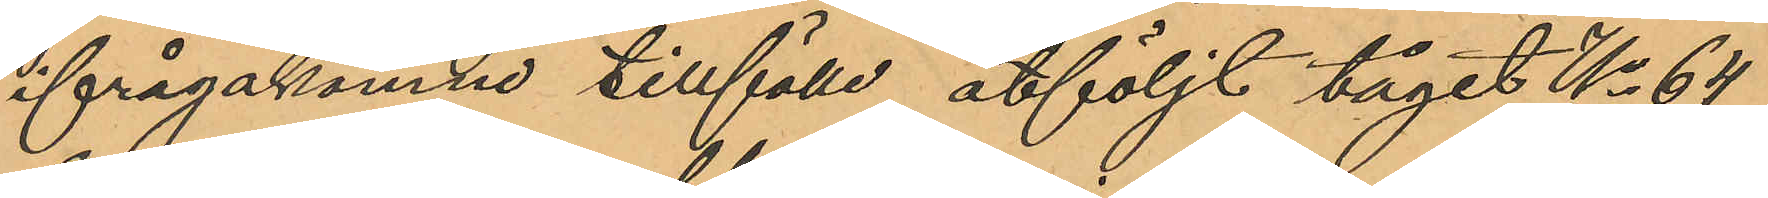ifrågakomne tillfälle åtföljt tåget No 64
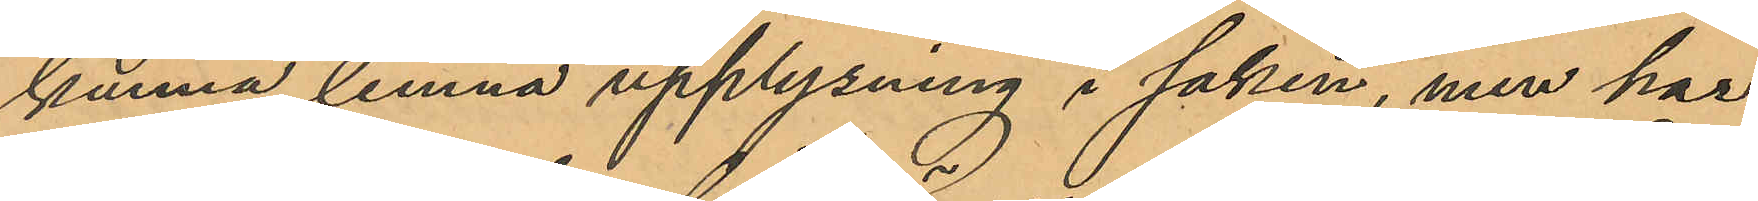kunna lemna upplysning i saken, men har
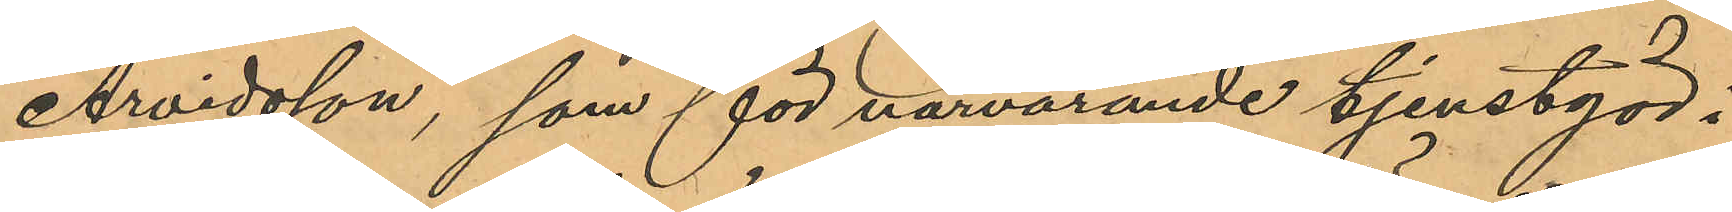Arvidsson, som för närvarande tjenstgör i
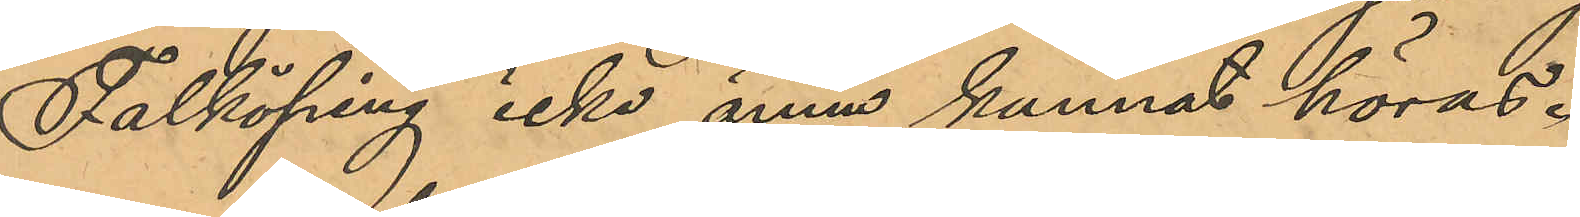Falköping icke ännu kunnat höras.
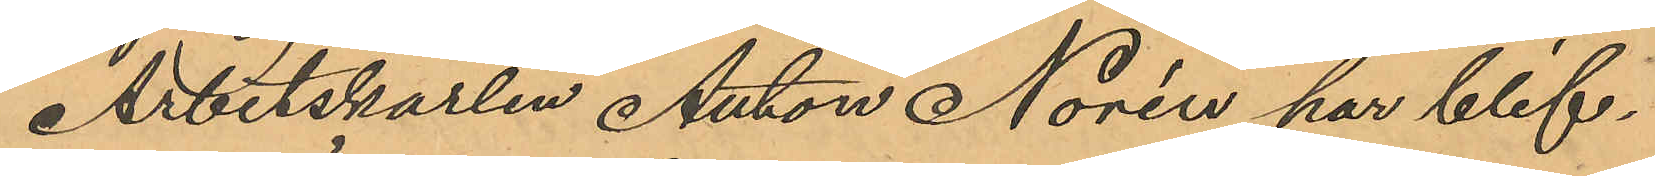Arbetskarlen Anton Norén har blif¬
